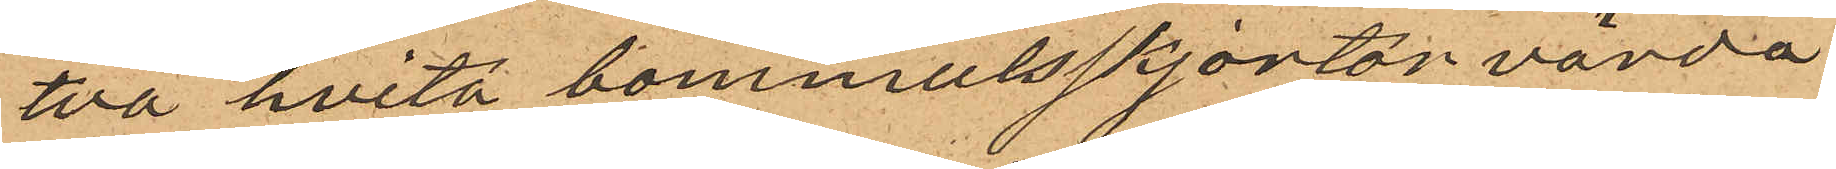två hvita bommulsskjortor värda
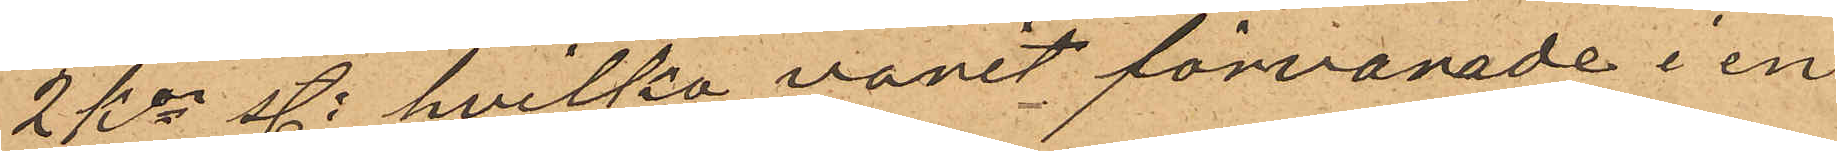2 Kor st: hvilka varit förvarade i en
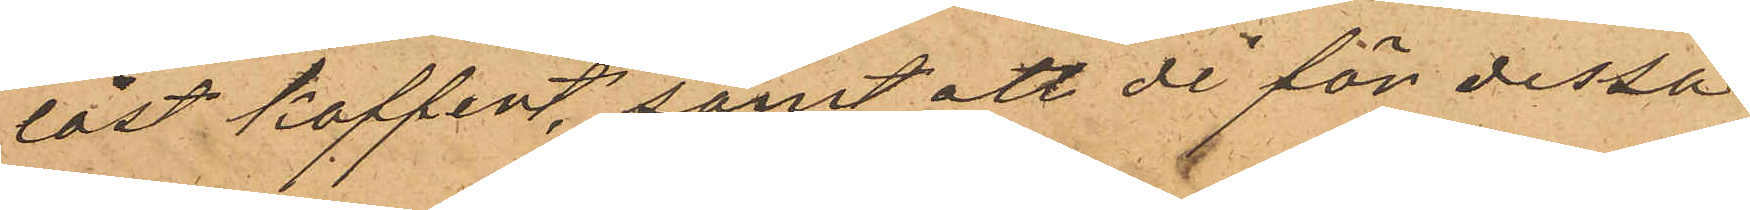låst koffert, samt att de för dessa
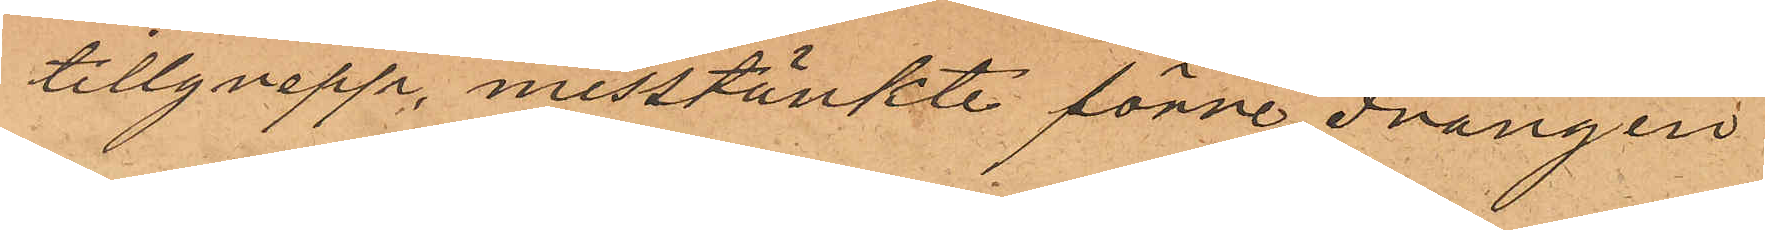tillgrepp misstänkte förre drängen
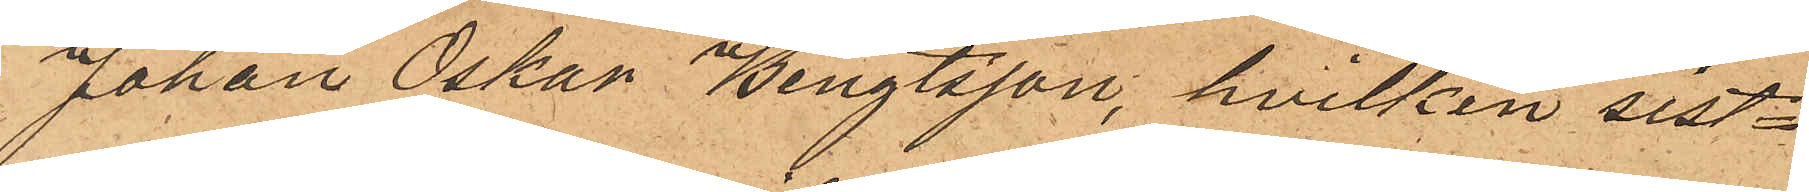Johan Oskar Bengtsson, hvilken sist¬
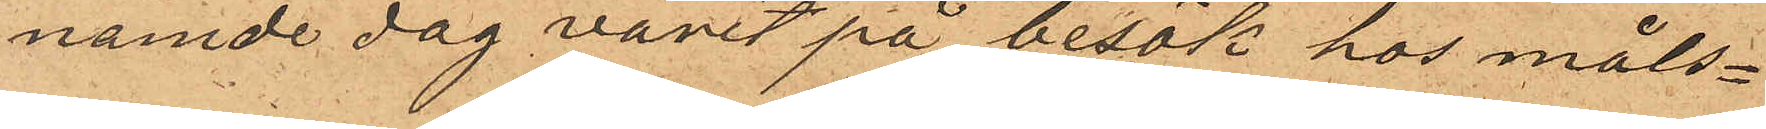nämde dag varit på besök hos måls¬
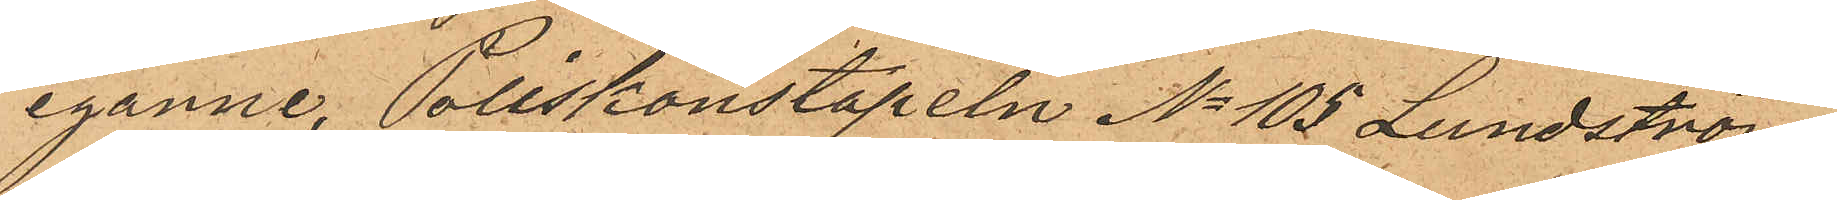egarne, Poliskonstapeln No 105 Lundström
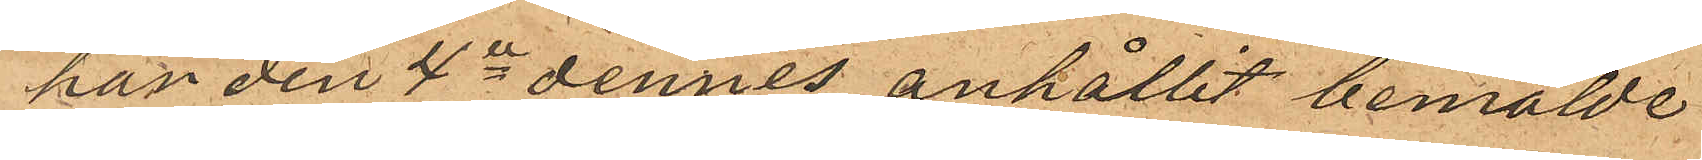han den 4de dennes anhållit bemälde
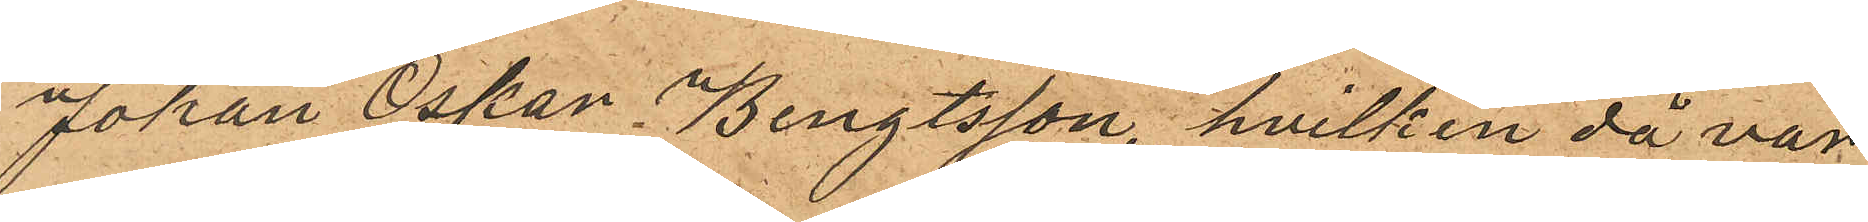Johan Oskar Bengtsson, hvilken då var
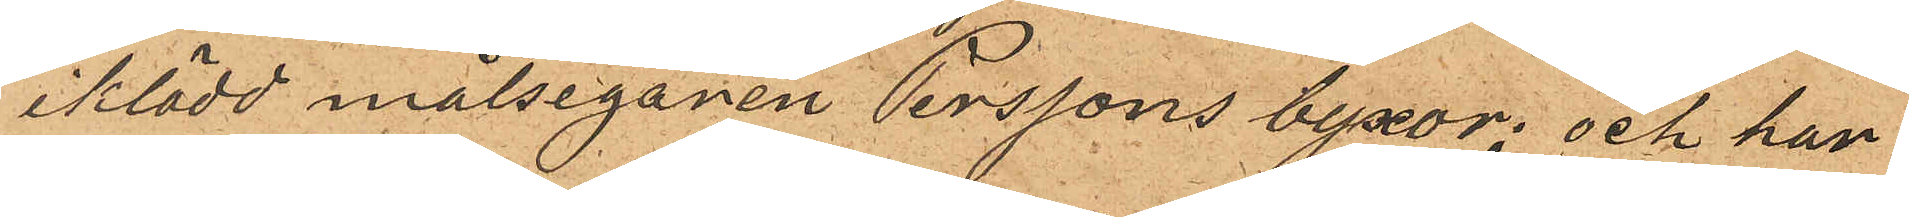iklädd målsegaren Perssons byxor; och han
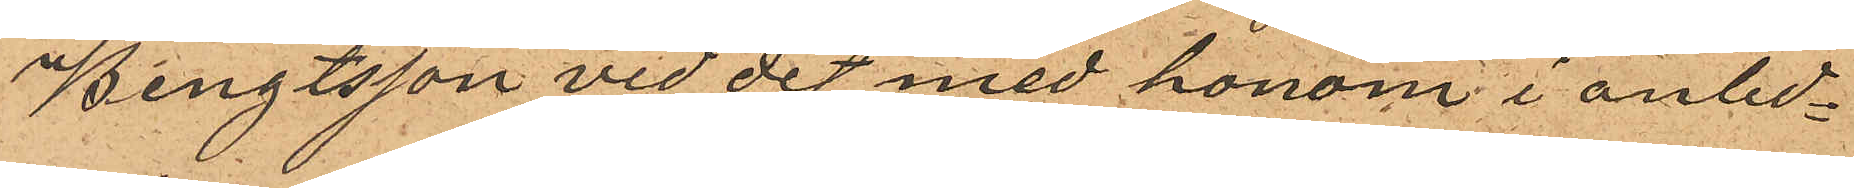Bengtsson vid det med honom i anled¬
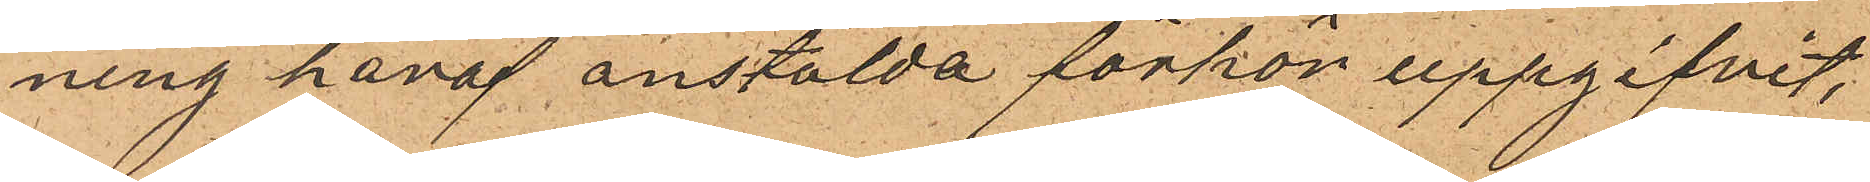ning häraf anstälda förhör uppgifvit,
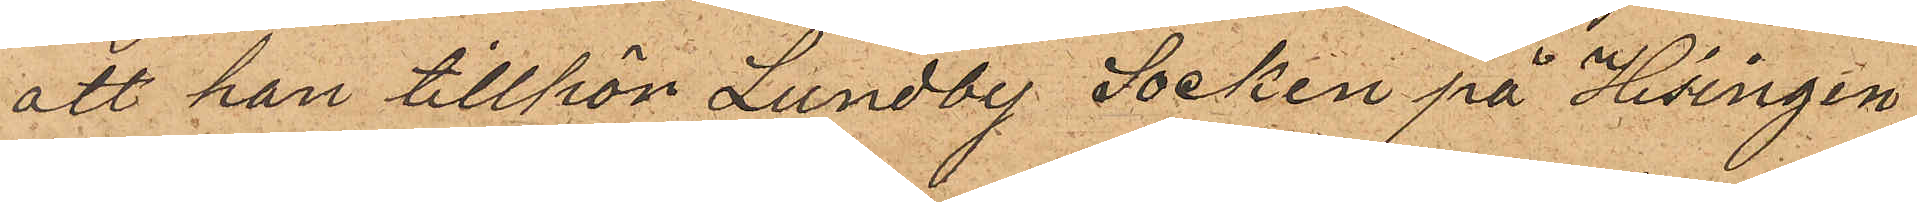att han tillför Lundby Socken på Hisingen
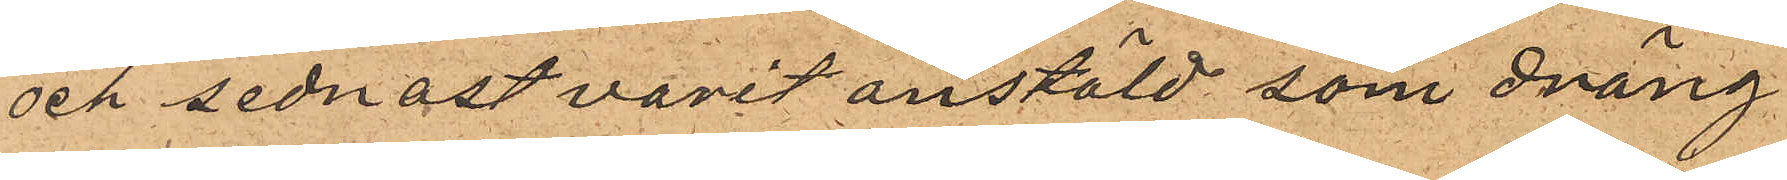och sednast varit anstäld som dräng
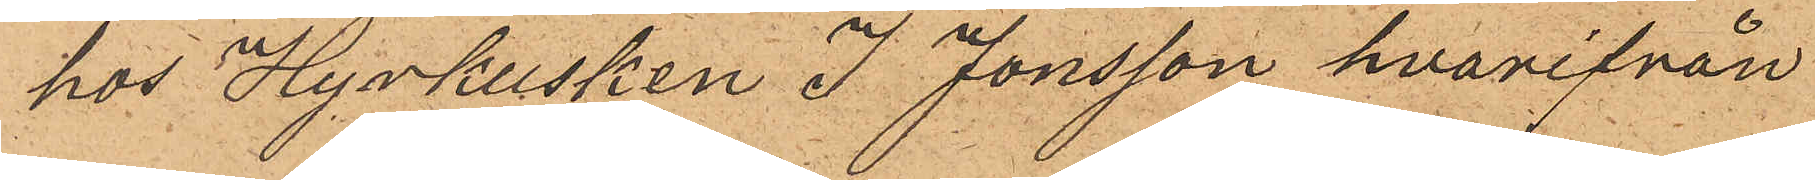hos Hyrkusken J Jonsson hvarifrån
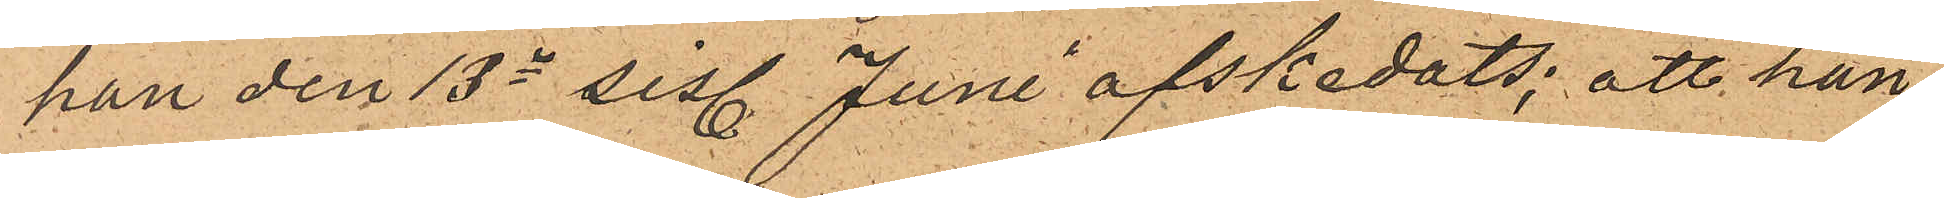han den 13e sist. Juni afskedats; att han
